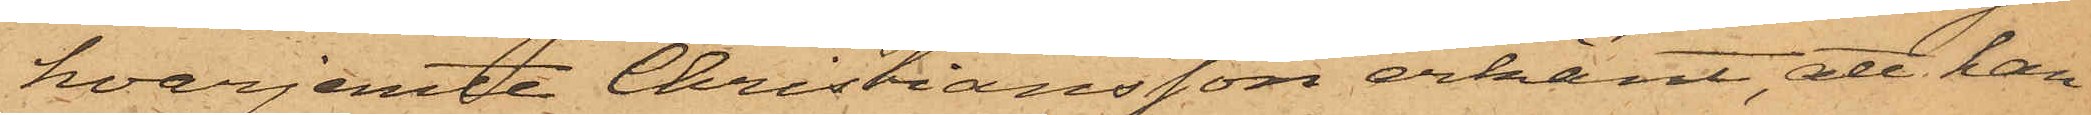hvarjemte Christiansson erkänt, att han
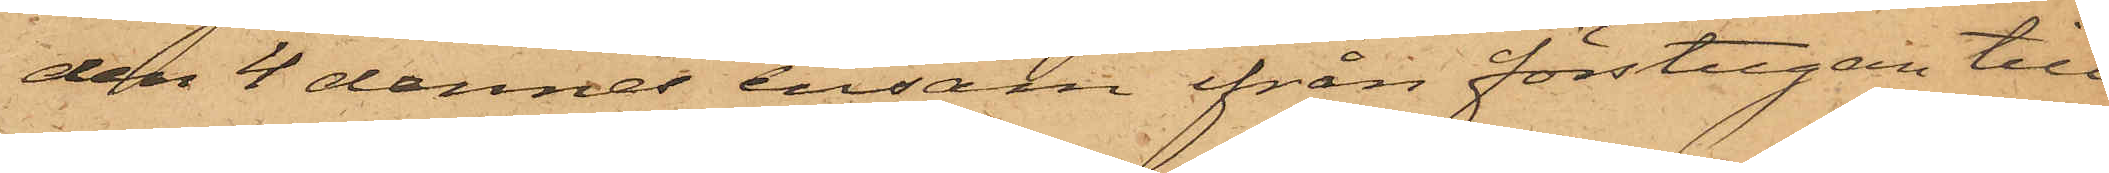den 4 dennes ensam ifrån förstugan till
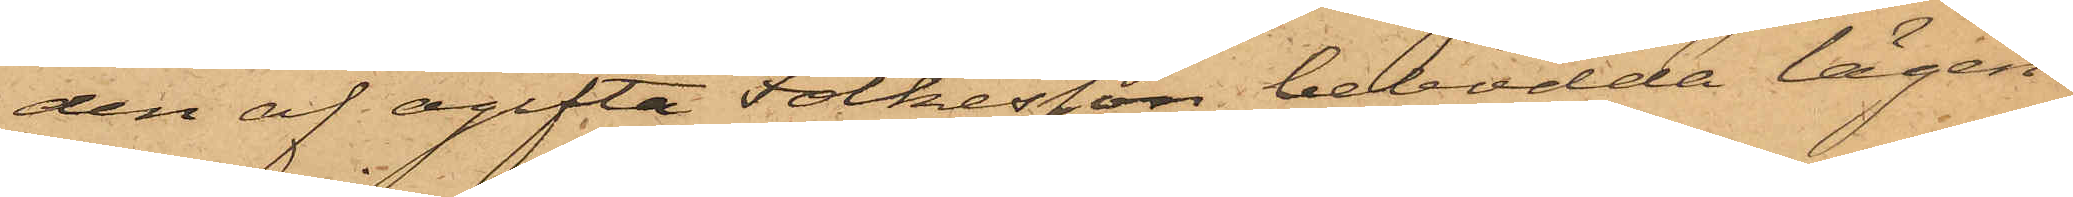den af ogifta Folkesson bebodda lägen¬
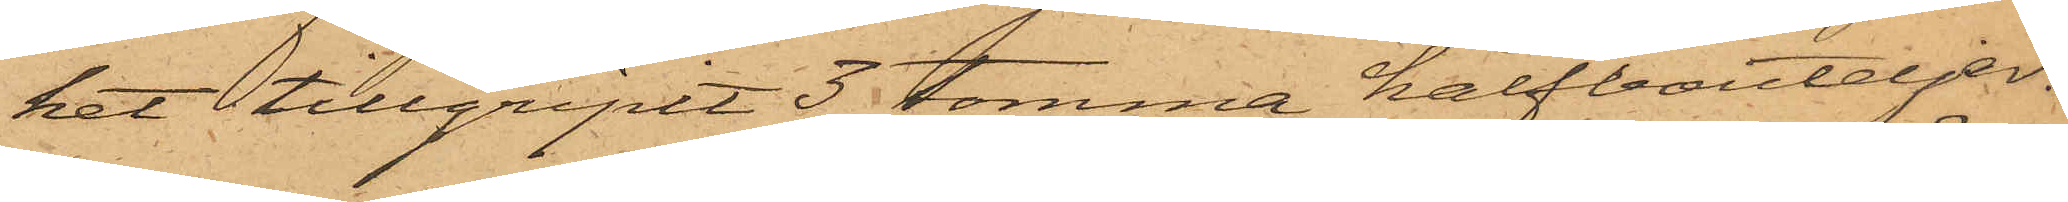het tillgripit 3 tomma halfbouteljer.
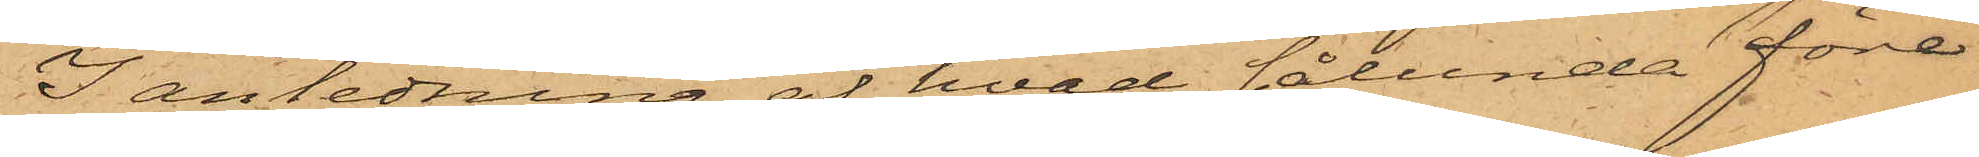I anledning af hvad sålunda före¬
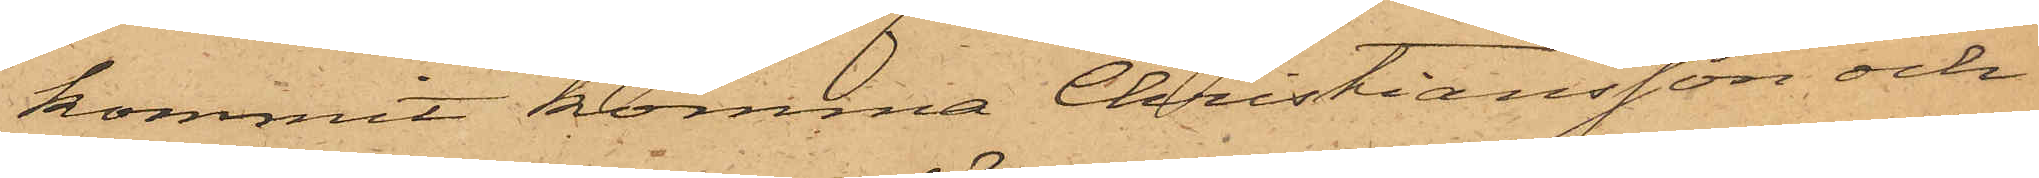kommit komma Christiansson och
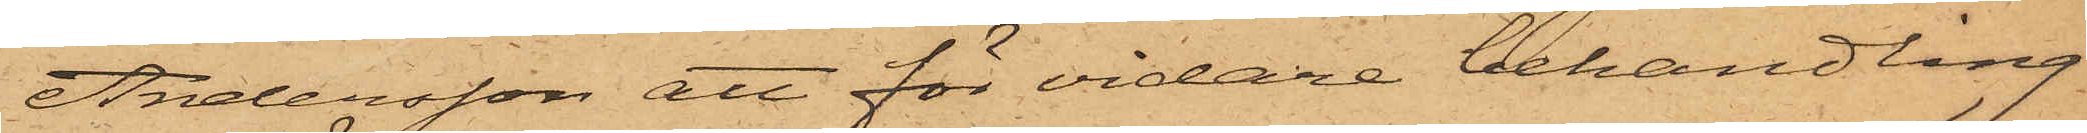Andersson att för vidare behandling
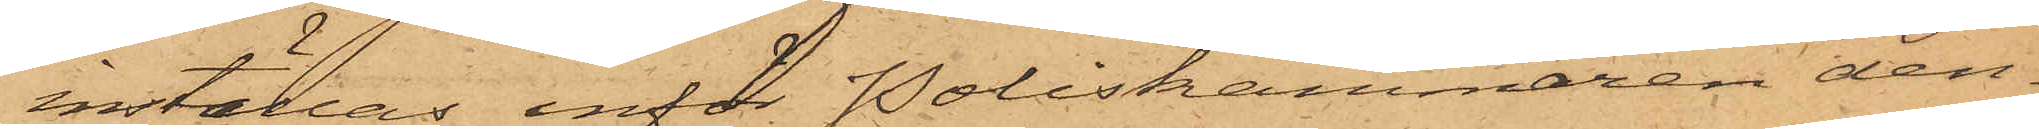inställas inför Poliskammaren den¬
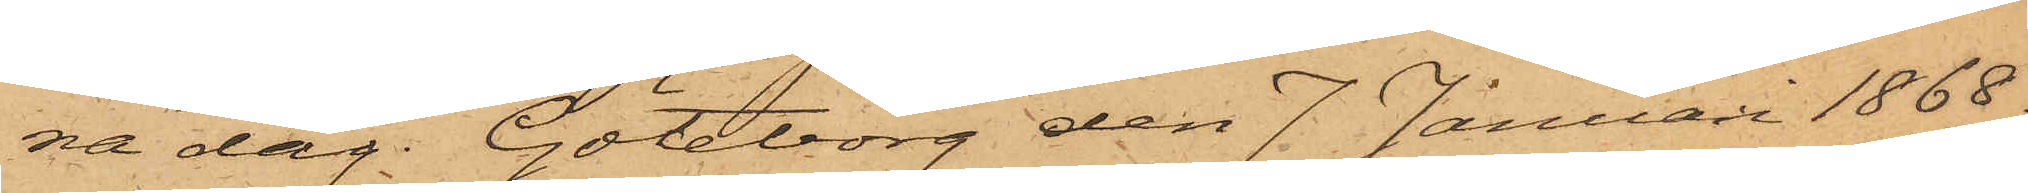na dag. Göteborg den 7 Januari 1868.
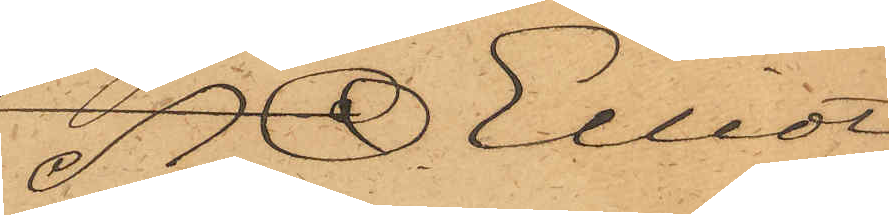A. O. Elliot.
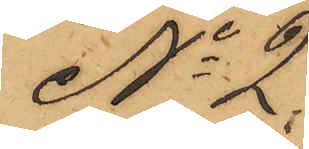No 2.
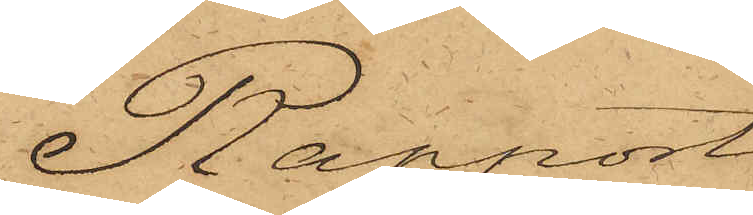Rapport!
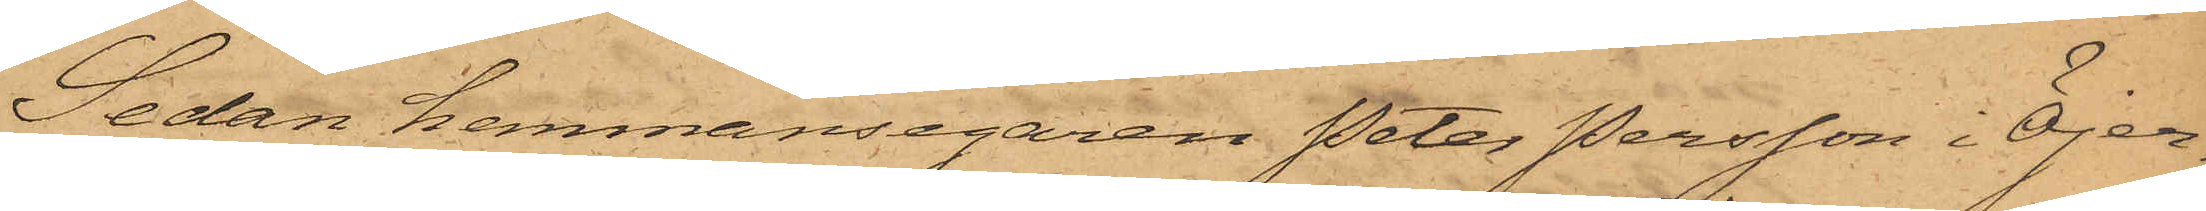Sedan hemmansegaren Peter Persson i Öjer¬
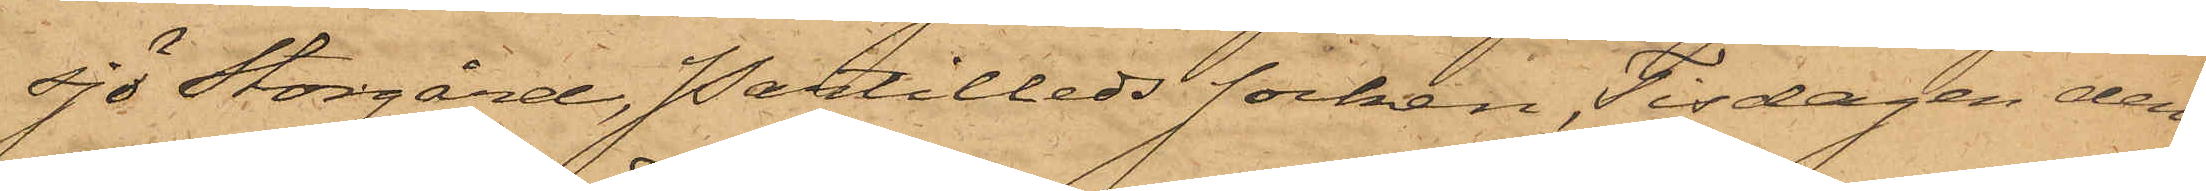sjö Storgård, Partilleds socken, Tisdagen den
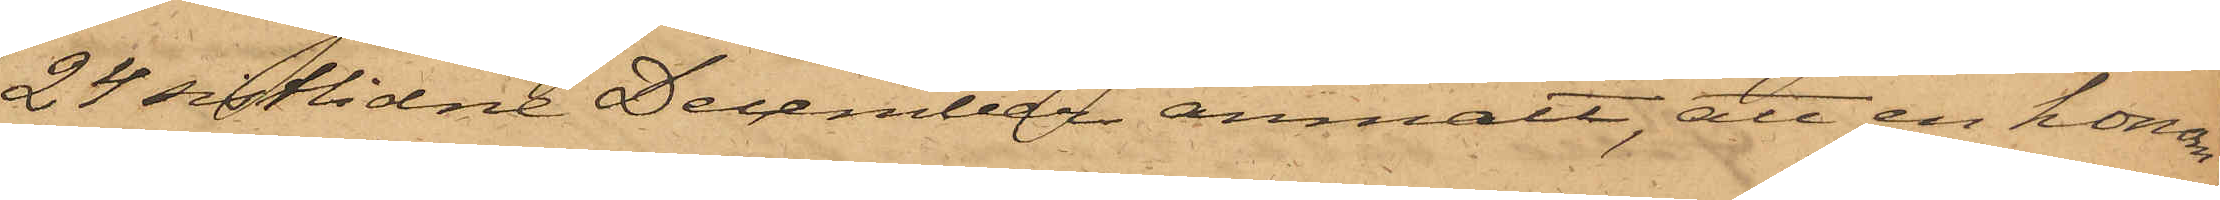24 sistlidne December anmält, att en honom
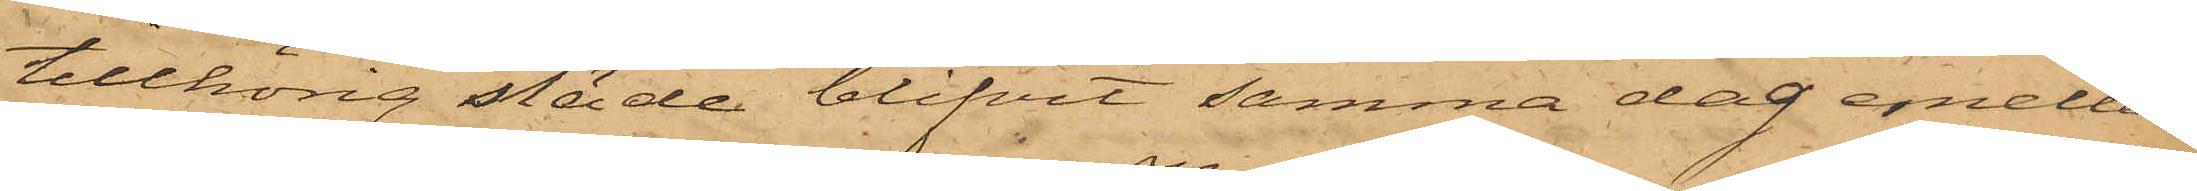tillhörig släde blifvit samma dag emellan
